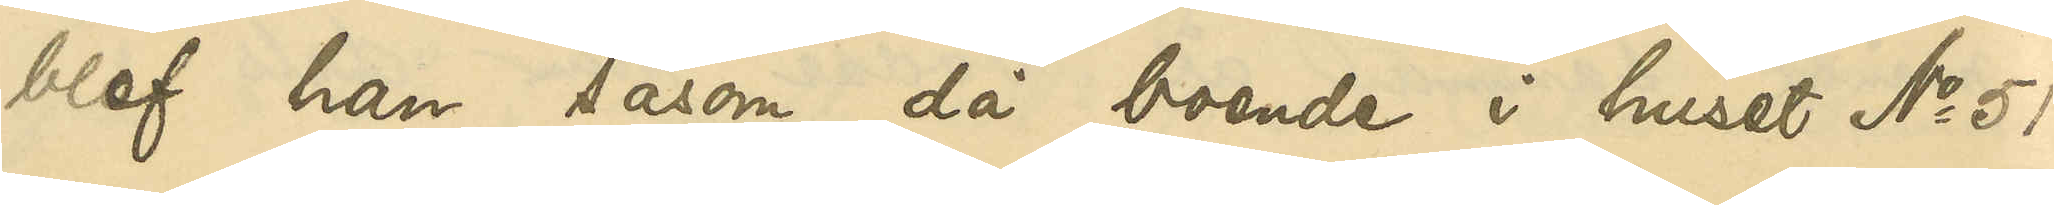blef han såsom då boende i huset No 51
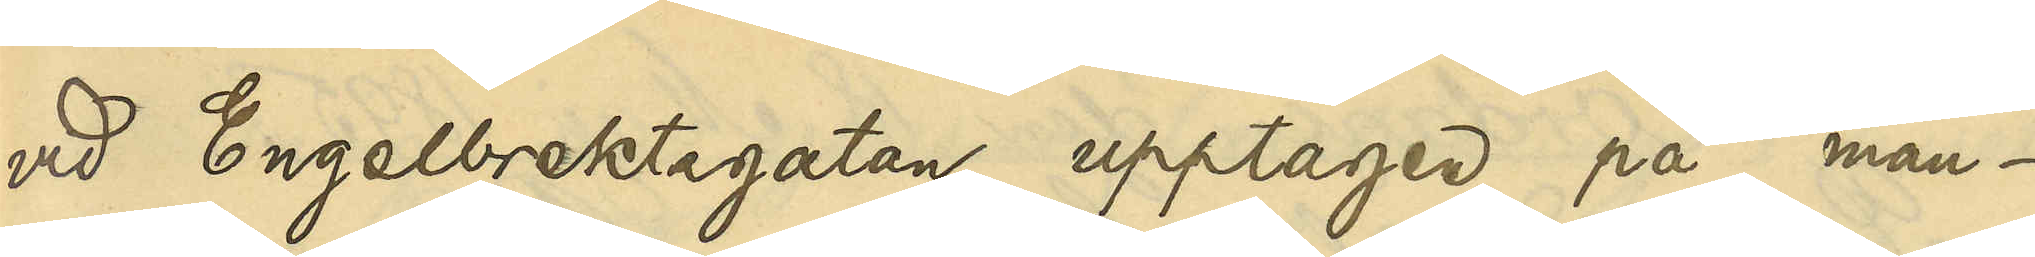vid Engelbrektsgatan upptagen på man¬
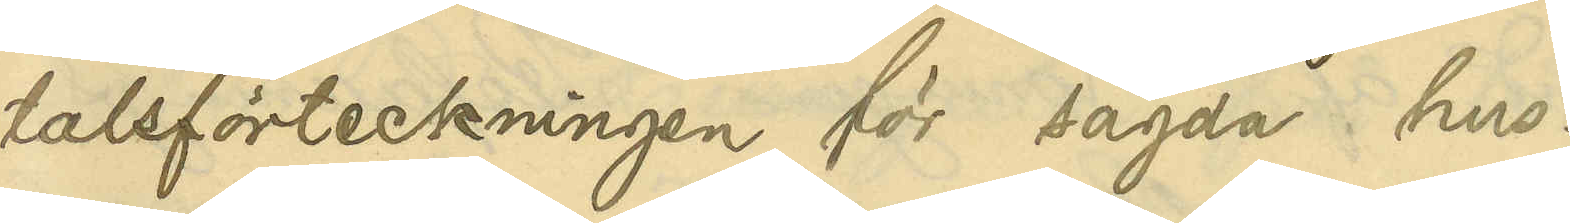talsförteckningen för sagda hus.
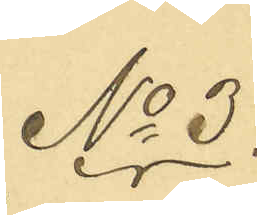No 3.
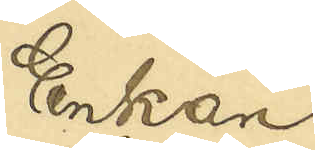Enkan
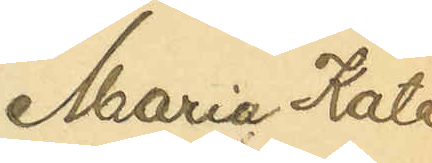Maria Kata¬
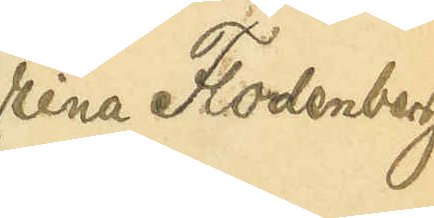rina Flodenberg
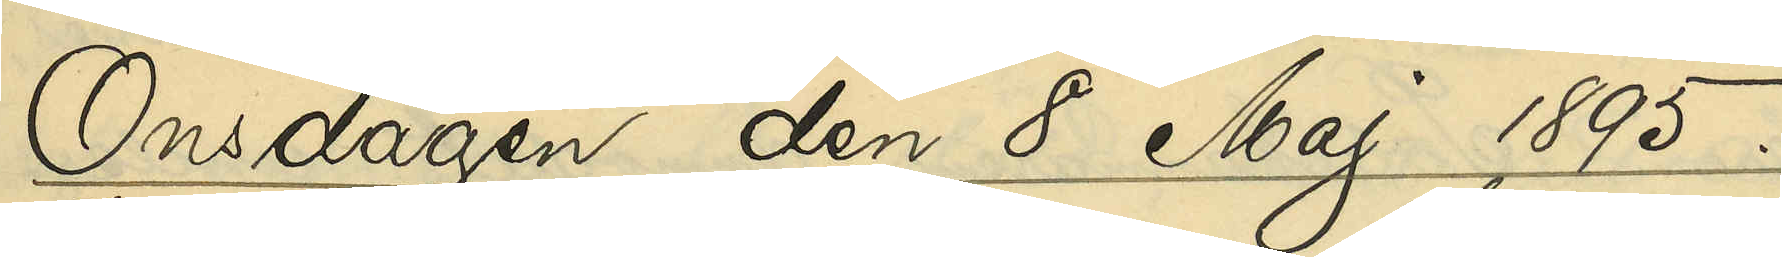Onsdagen den 8 Maj 1895.
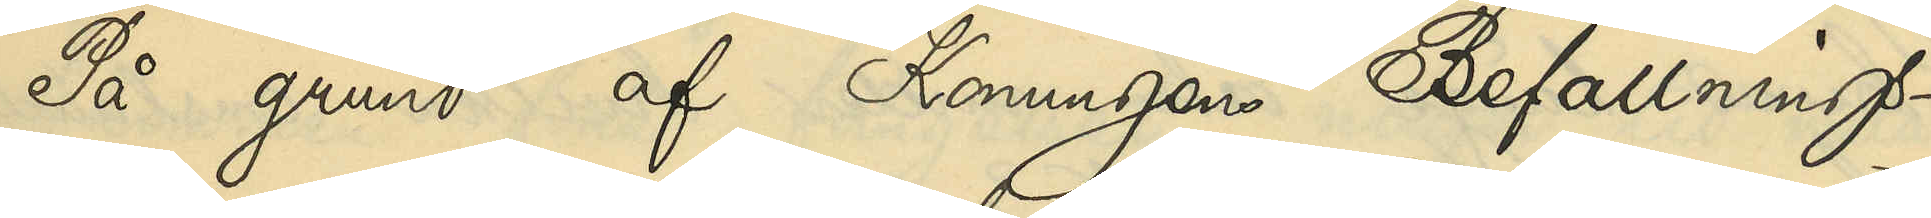På grund af Konungens Befallnings¬
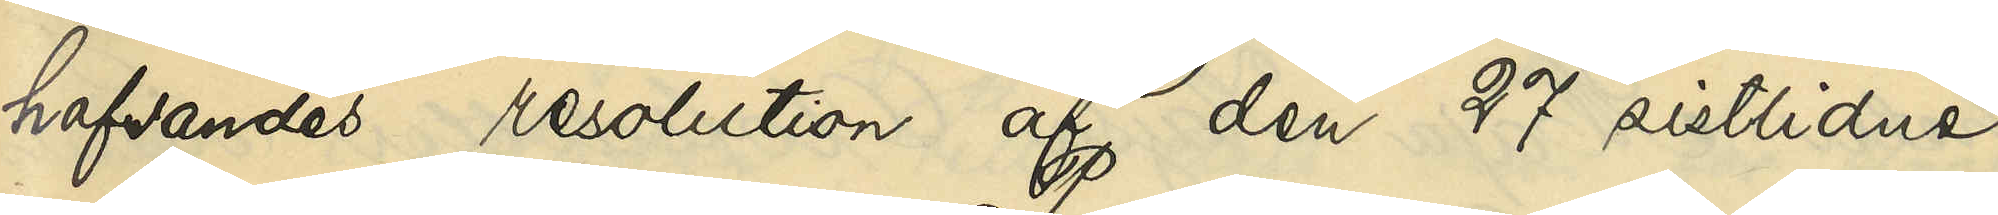hafvandes resolution af den 27 sistlidne
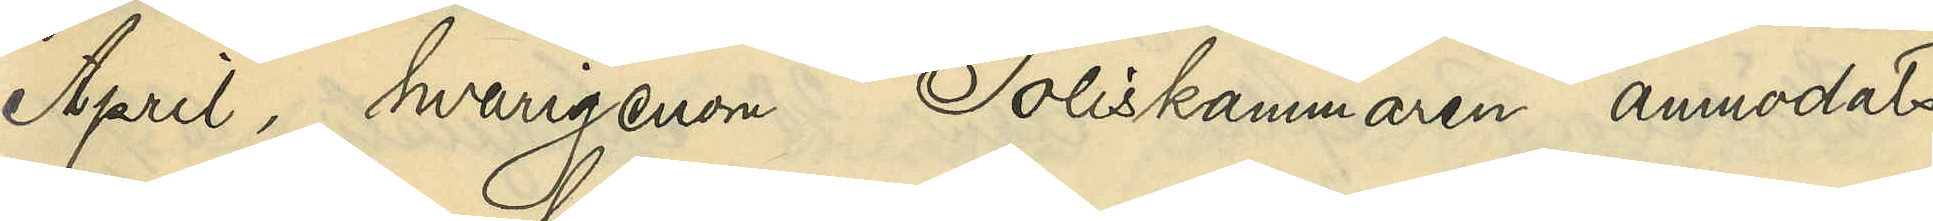April, hvarigenom Poliskammaren anmodats
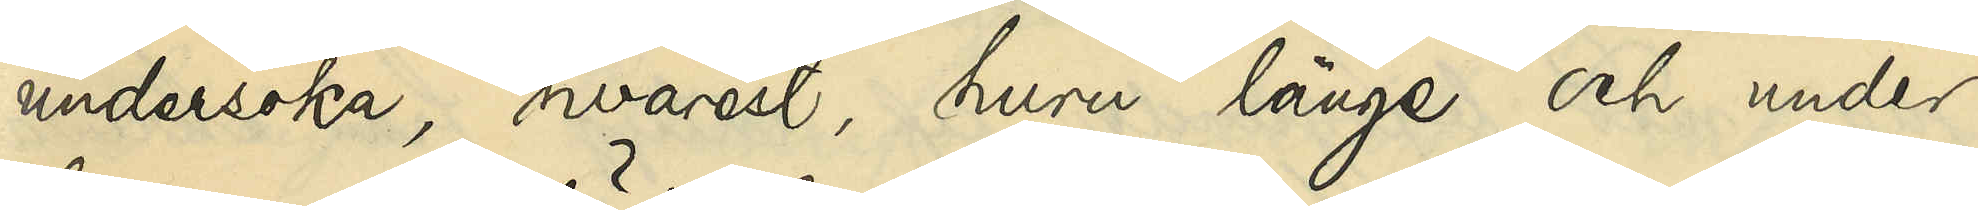undersöka, hvarest, huru länge och under
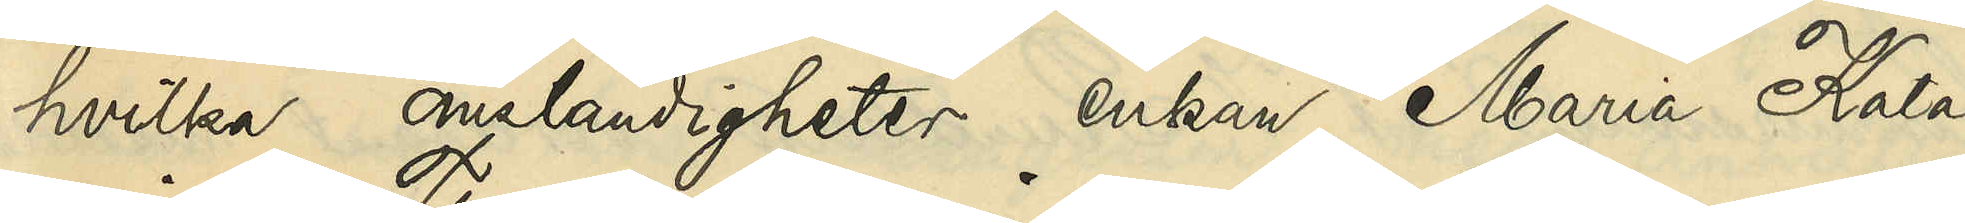hvilka omständigheter enkan Maria Kata¬
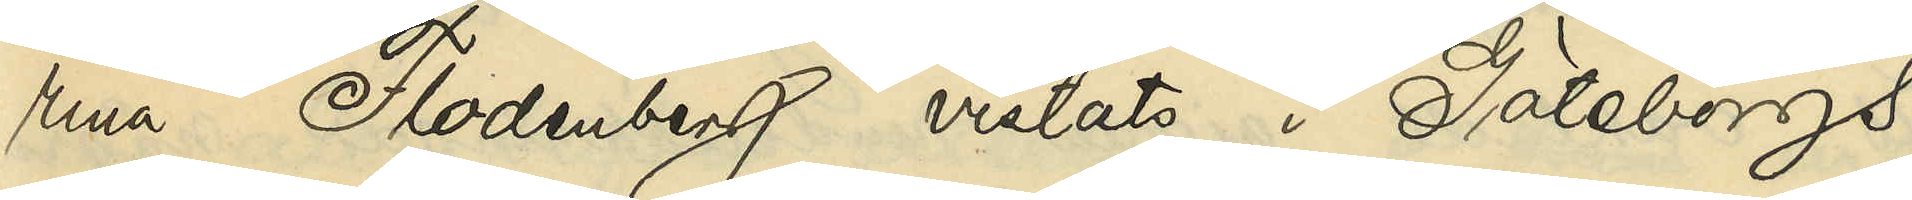rina Flodenberg vistats i Göteborgs
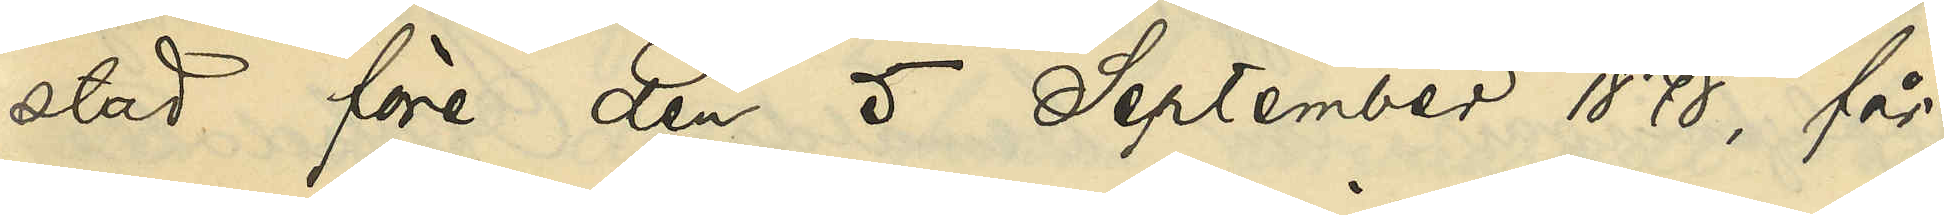stad före den 5 September 1878, får
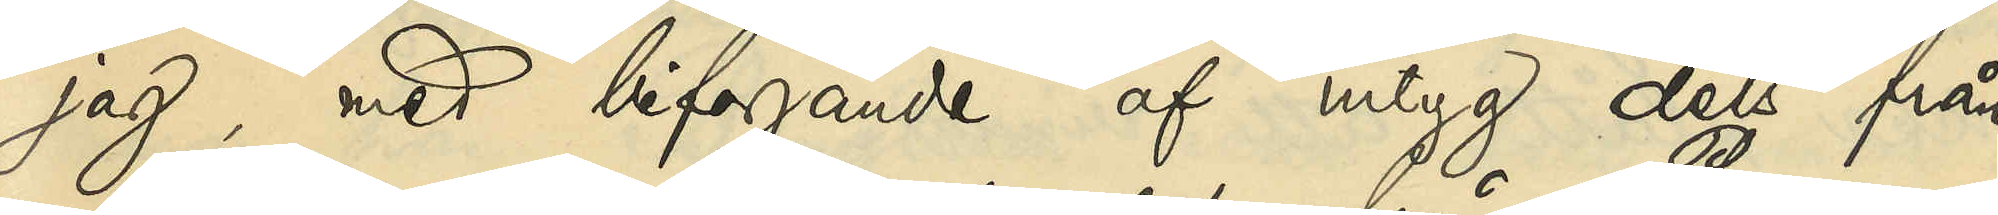jag, med bifogande af intyg dels från
